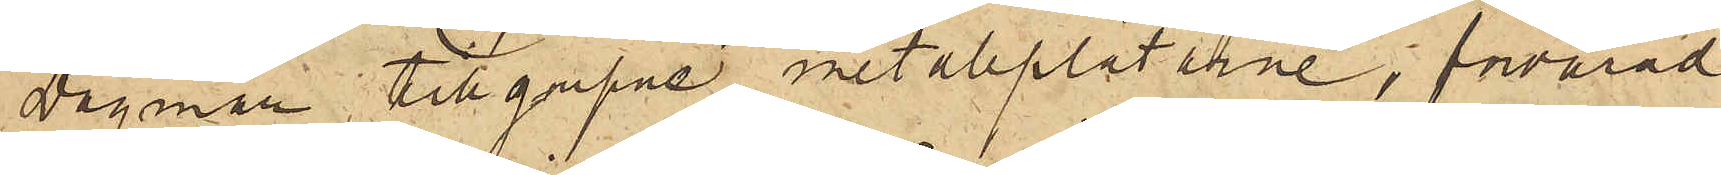Dagmar tillgripne metallplåtarne, förvarad
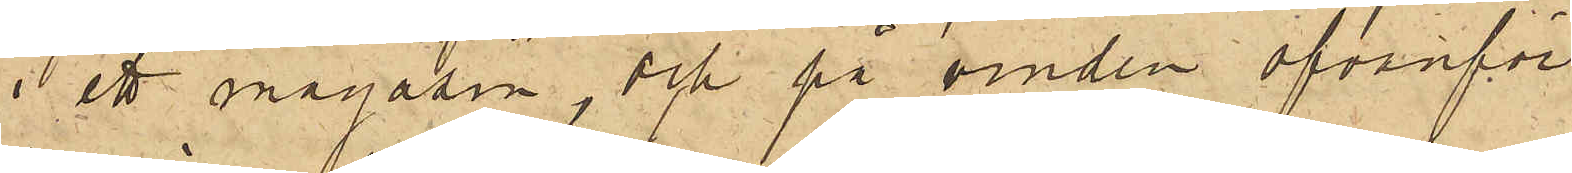i ett magasin, och på vinden ofvanför
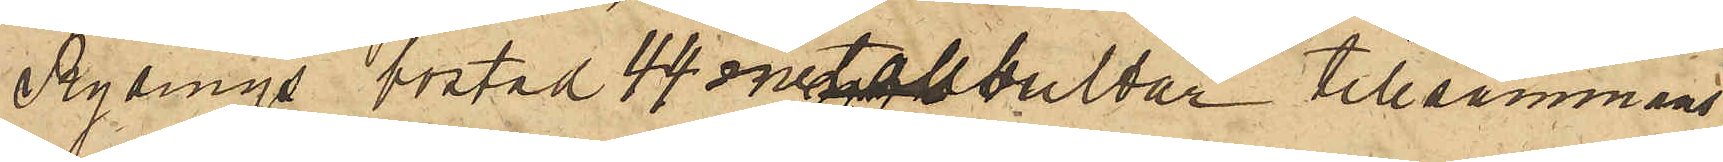Rydings bostad 44 metallbultar tillsammans
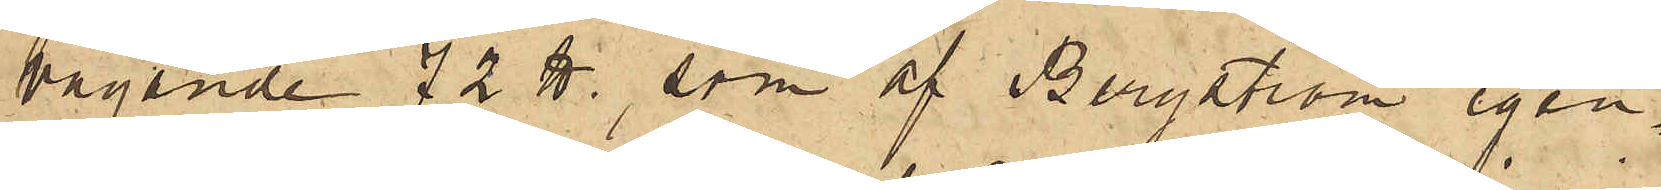vägande 72 ℔, som af Bergström igen¬
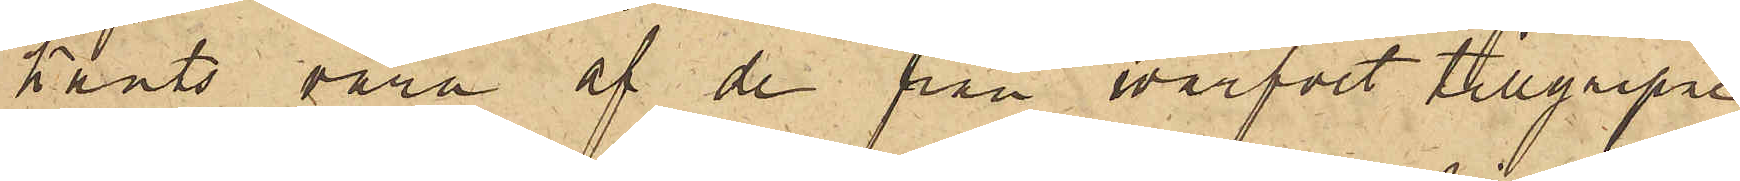känts vara af de från warfvet tillgripne;
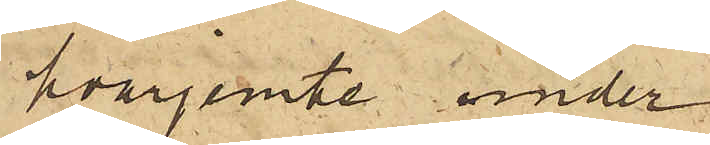hvarjemte under
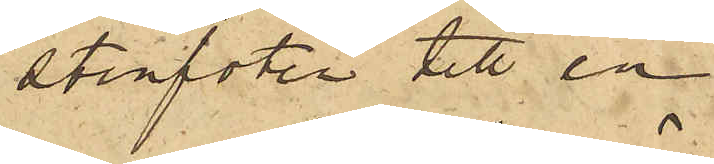stenfoten till en
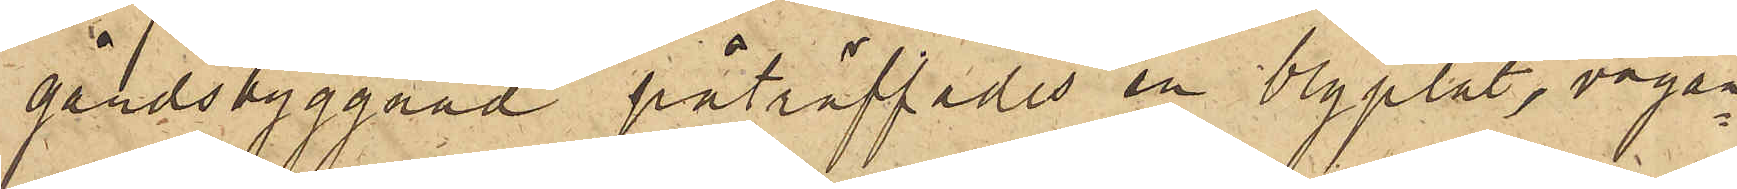gårdsbyggnad påträffades en blyplåt, vägan¬
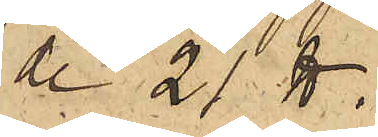de 21 ℔.
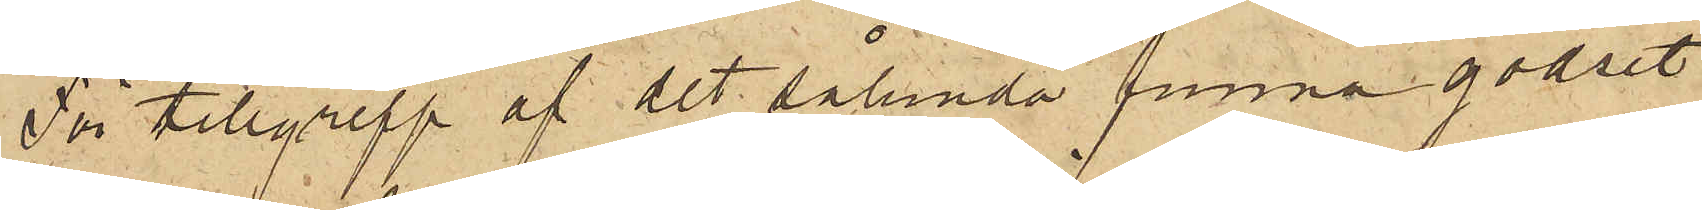För tillgrepp af det sålunda funna godset
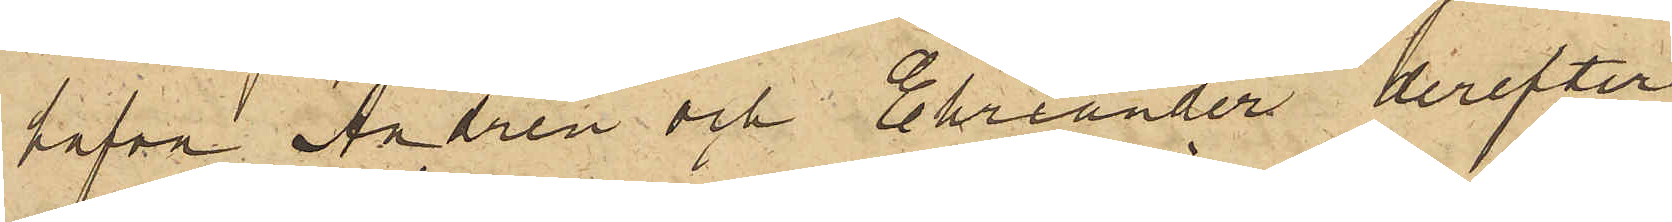hafva Andrén och Ehriander derefter
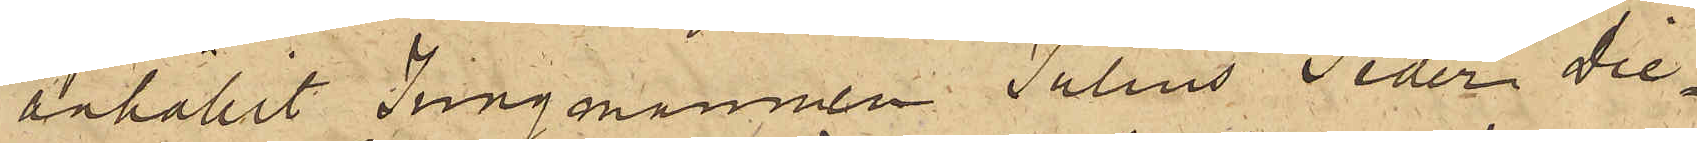anhållit Jungmannen Julius Peder Die¬
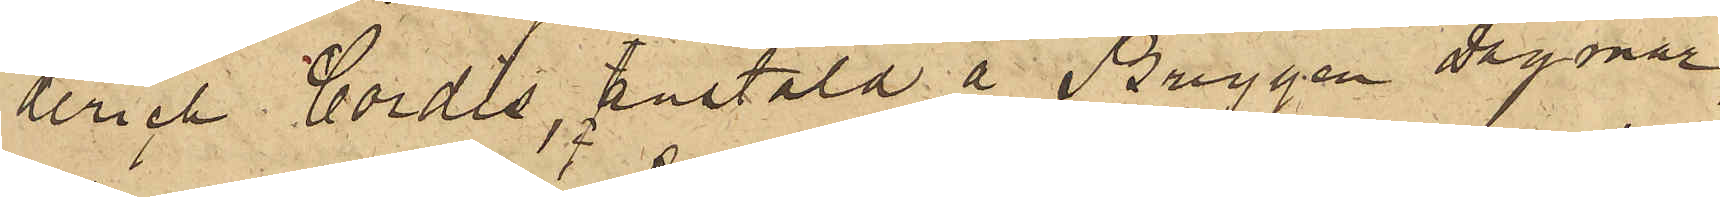derich Cordis, anstäld å Briggen Dagmar,
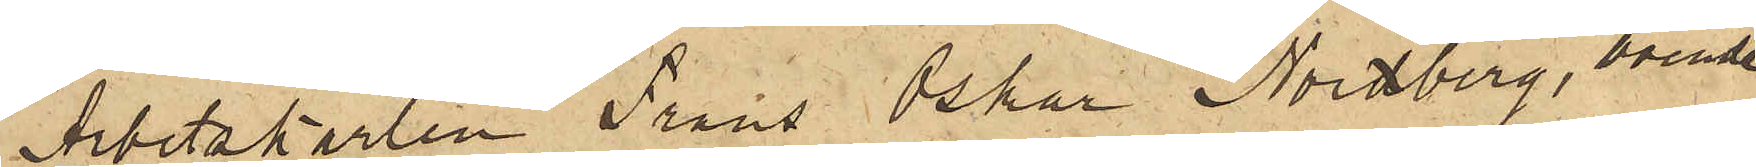Arbetskarlen Frans Oskar Nordberg, boende
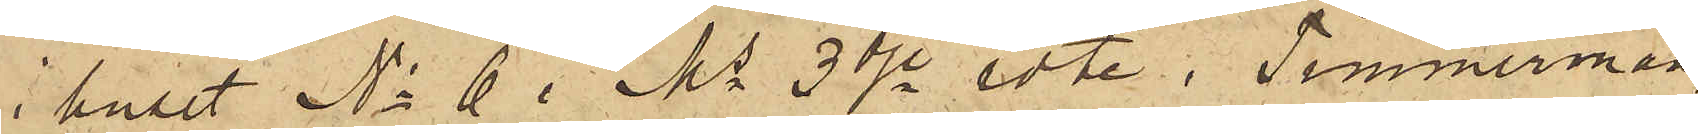i huset No 6 i Ms 3dje rote, Timmermän¬
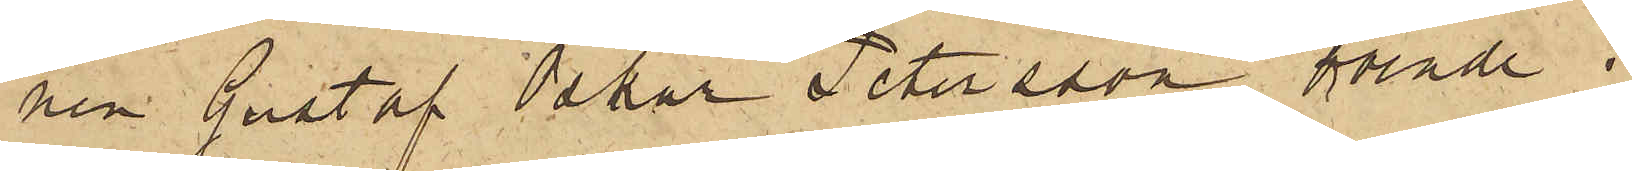nen Gustaf Oskar Petersson, boende i 
